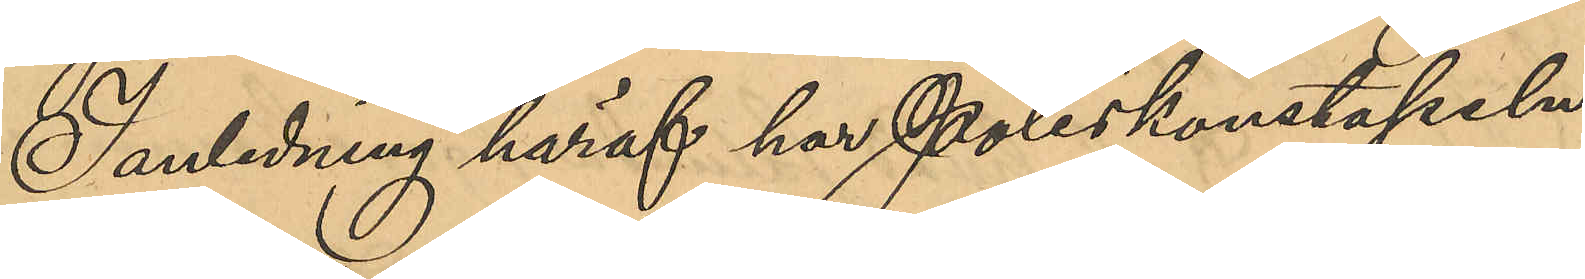I anledning häraf har Poliskonstapeln
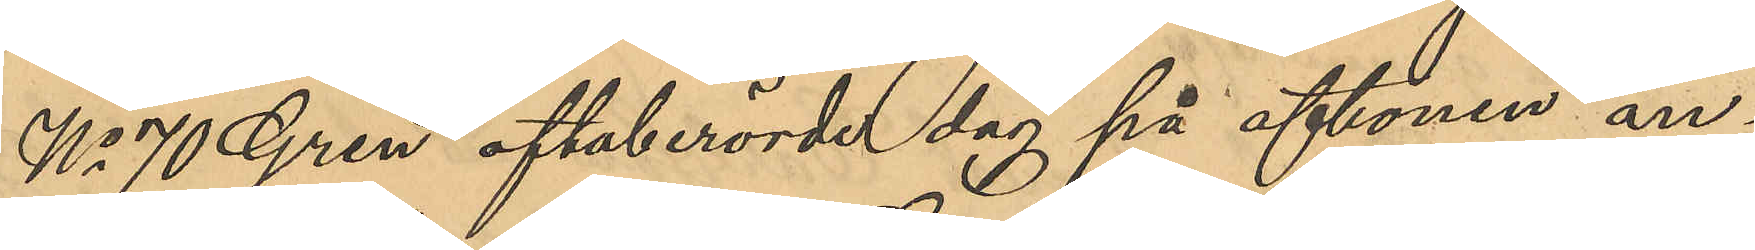No Gren oftaberörde dag på aftonen an¬
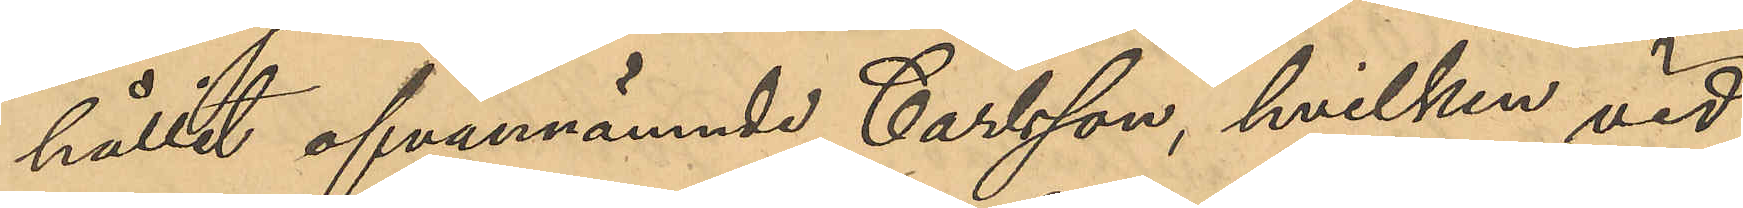hållit ofvannämnde Carlsson, hvilken vid
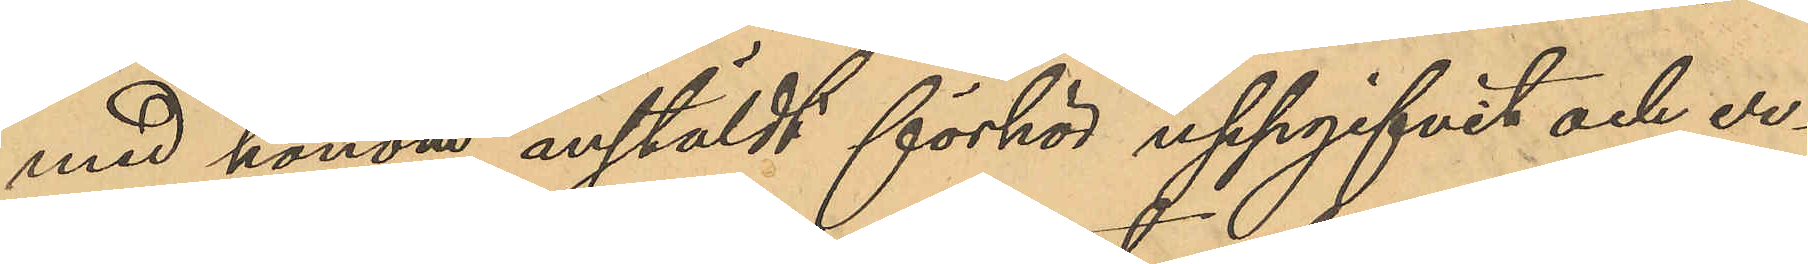med honom anstäldt förhör uppgifvit och er¬
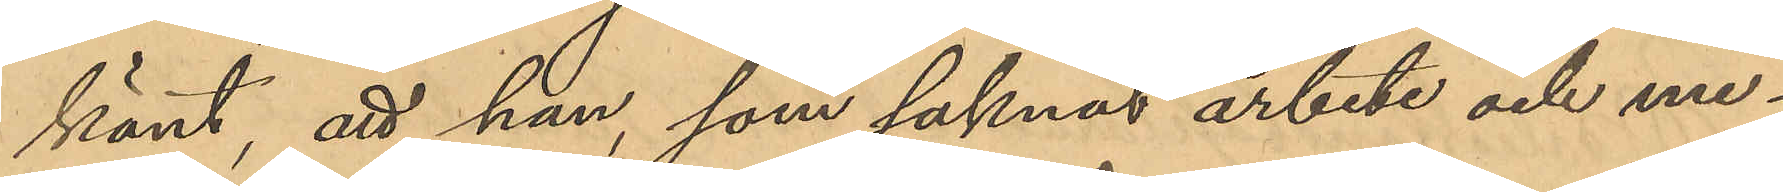känt, att han, som saknat arbete och me¬
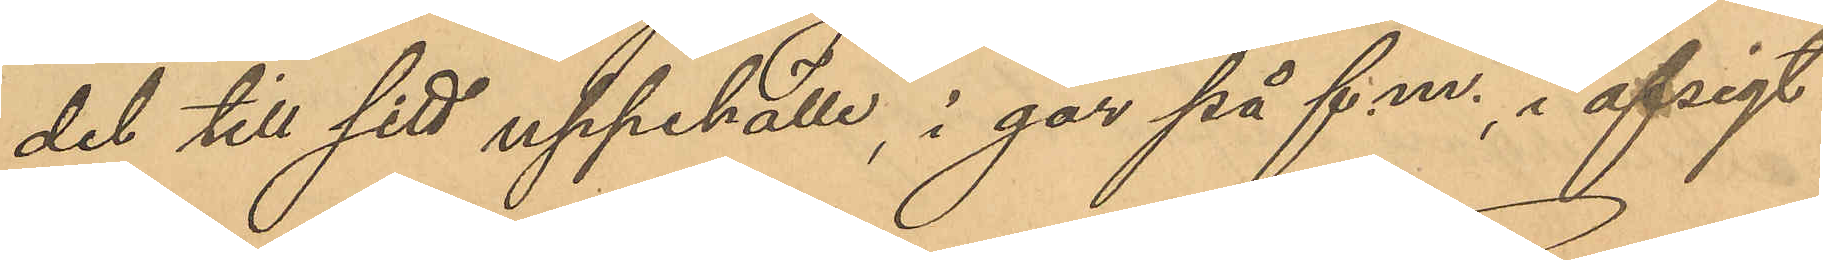del till sitt uppehälle, i går på f.m., i afsigt
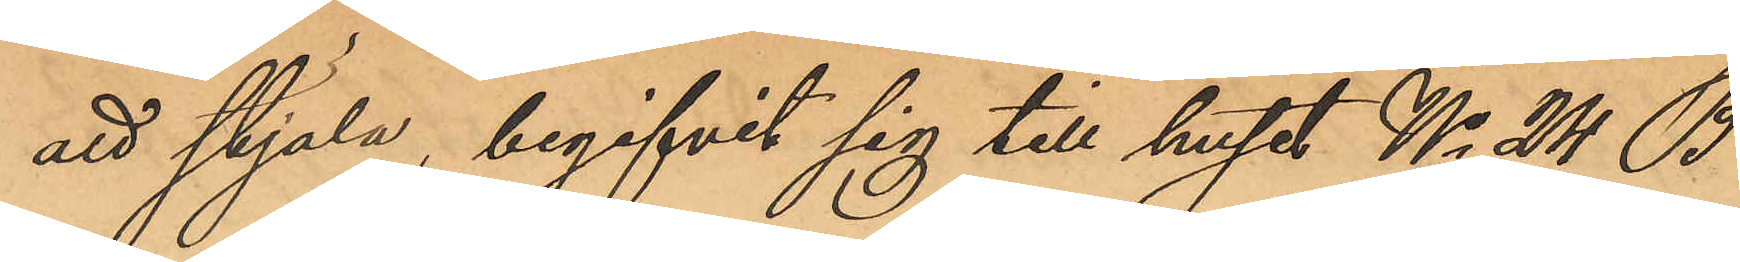att stjäla, begifvit sig till huset No 24 B
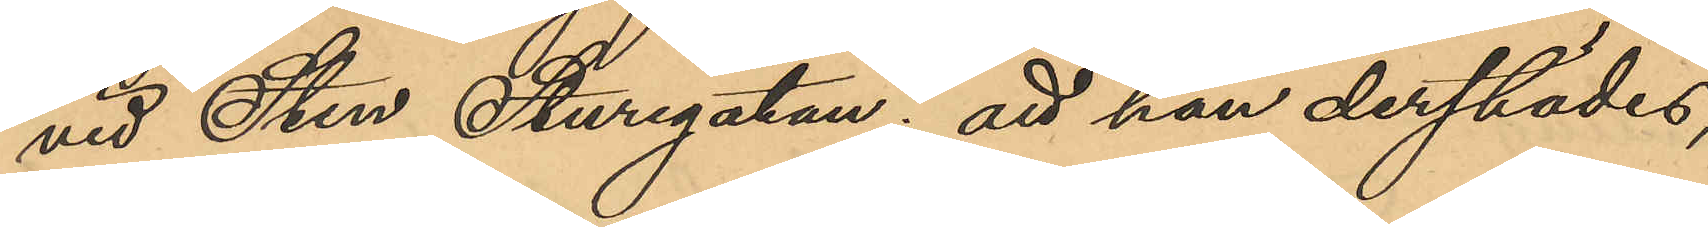vid Sten Sturegatan, att han derstädes,
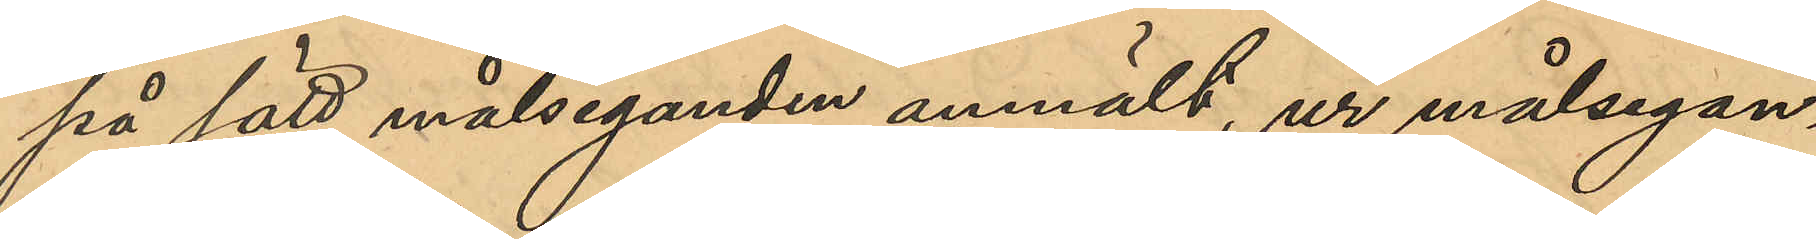på sätt målseganden anmält, ur målsegan¬
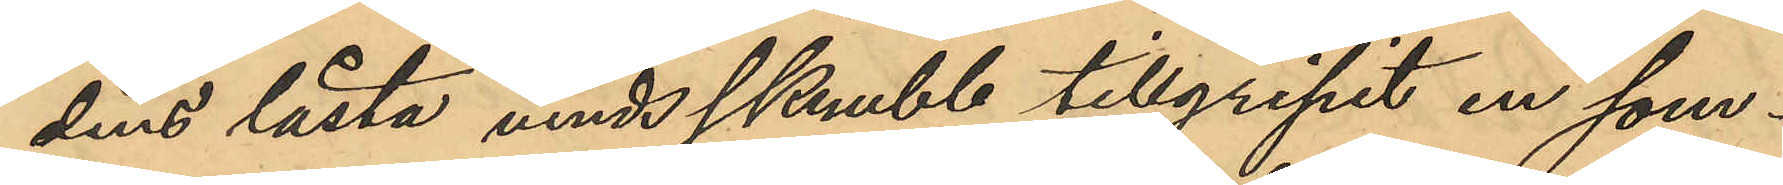dens låsta vindsskrubb tillgripit en som¬
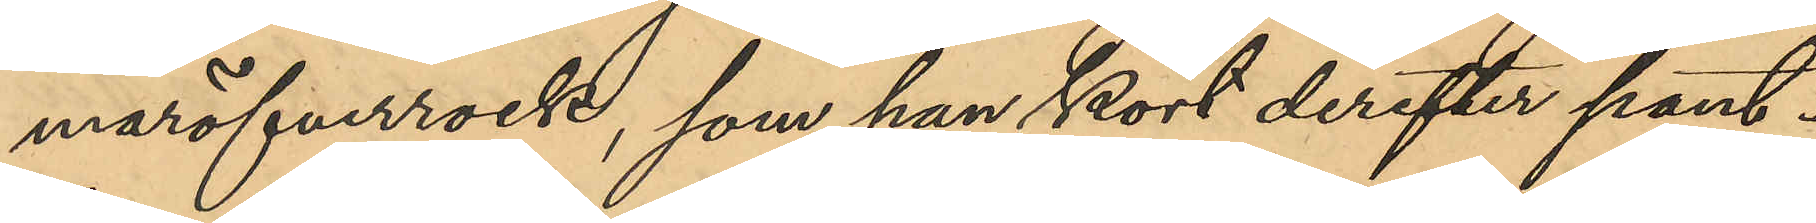maröfverrock, som han kort derefter pant¬
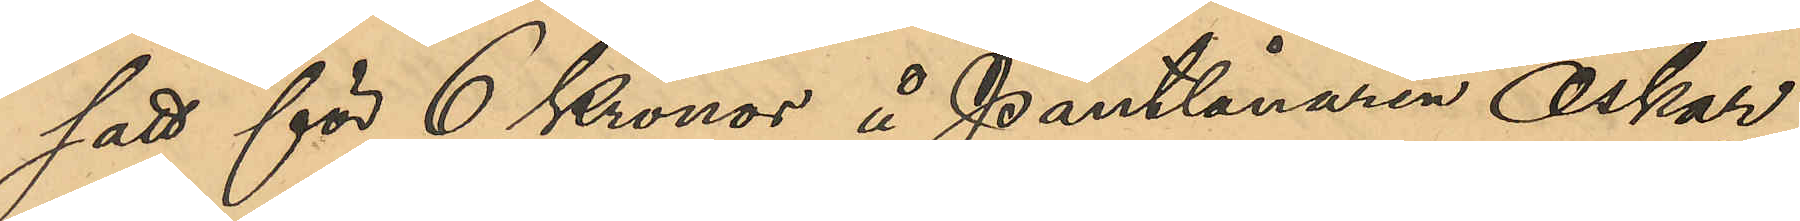satt för 6 Kronor å Pantlånaren Oskar
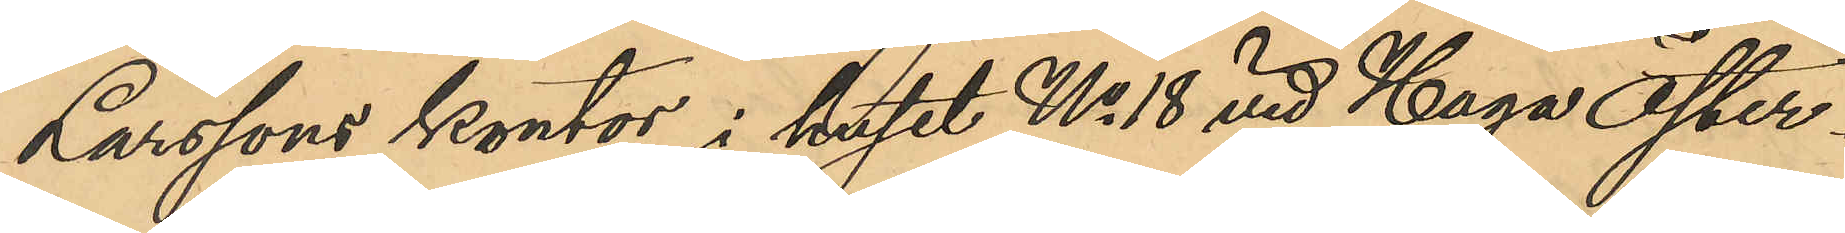Larssons kontor i huset No 18  vid Haga Öster¬
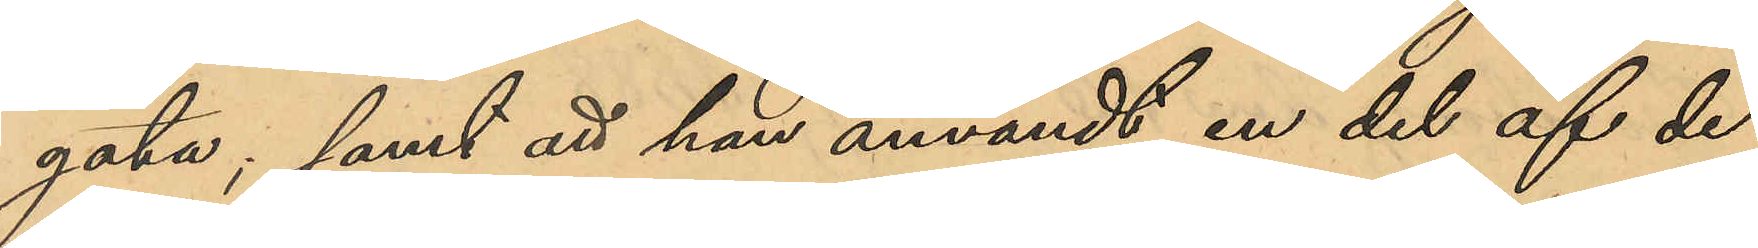gata; samt att han användt en del af de
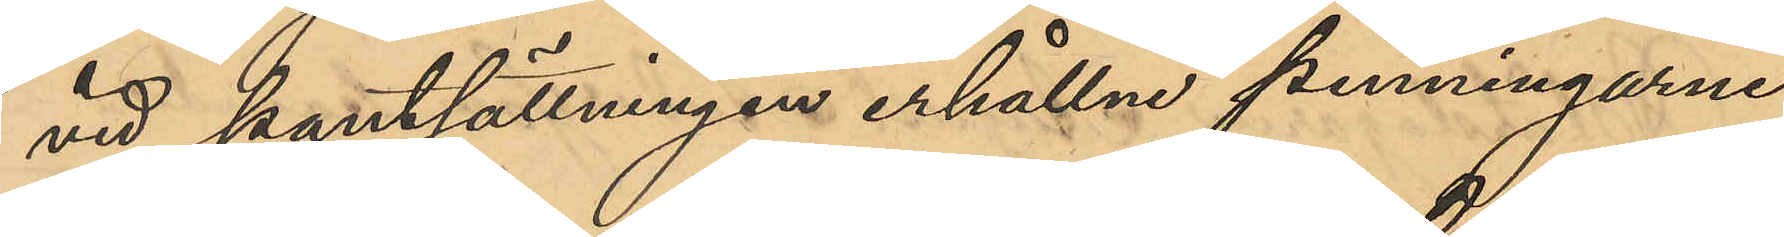vid pantsättningen erhållne penningarne
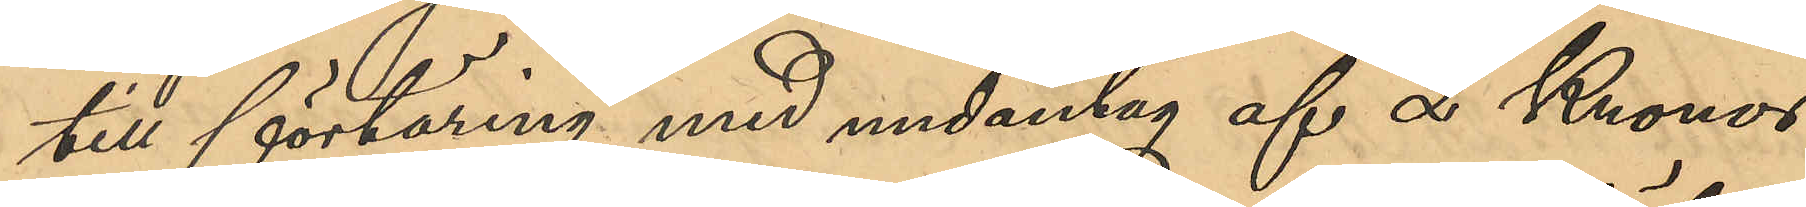till förtäring med undantag af 2 Kronor
